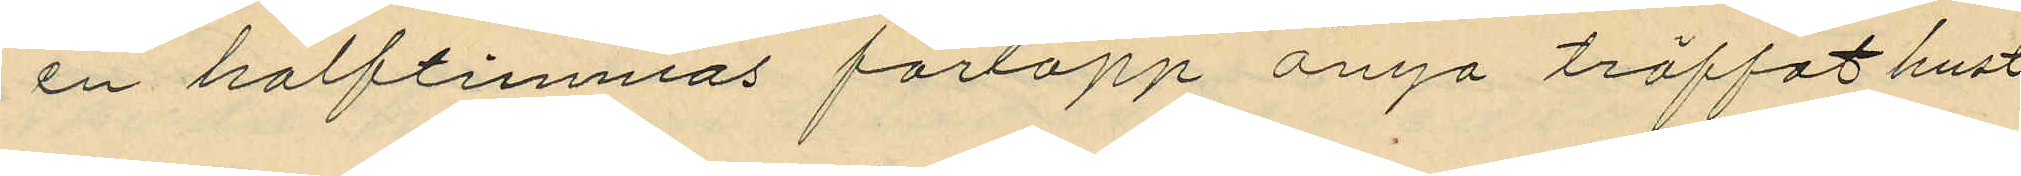en halftimmas förlopp ånyo träffat hust¬
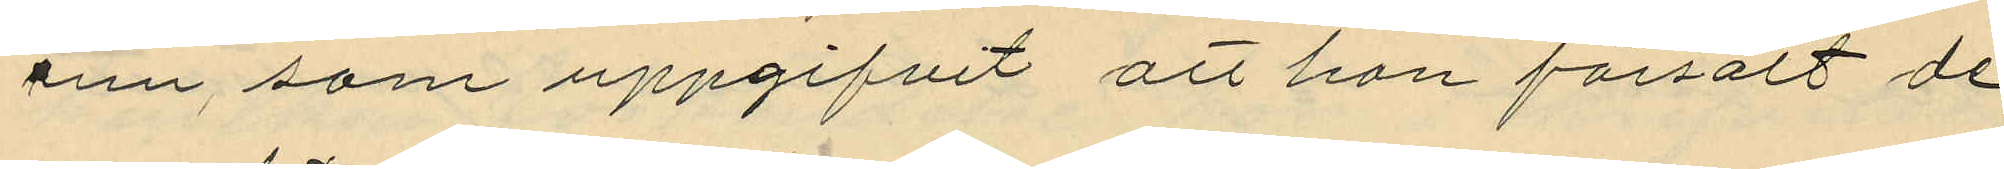run, som uppgifvit att hon försålt de
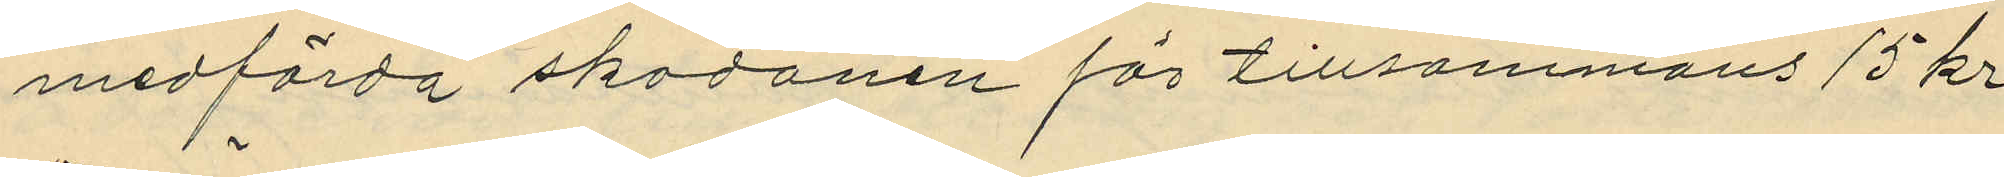medförda skodonen för tillsammans 15 kr.
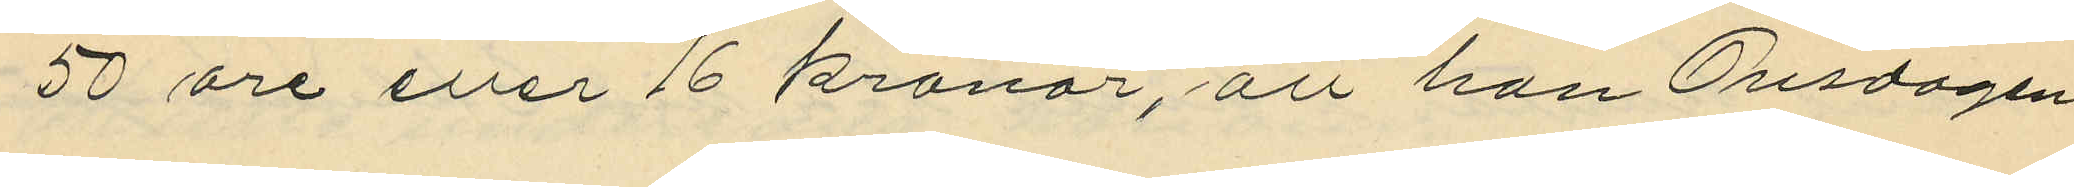50 öre eller 16 kronor, att han Onsdagen
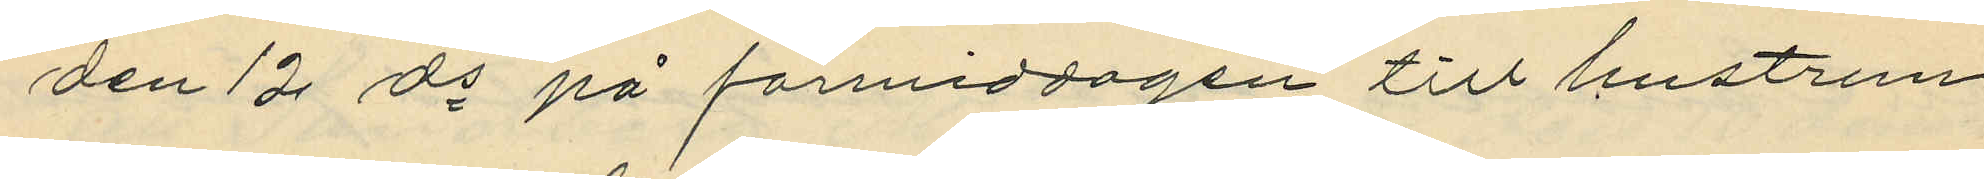den 12 ds på förmiddagen till hustrun
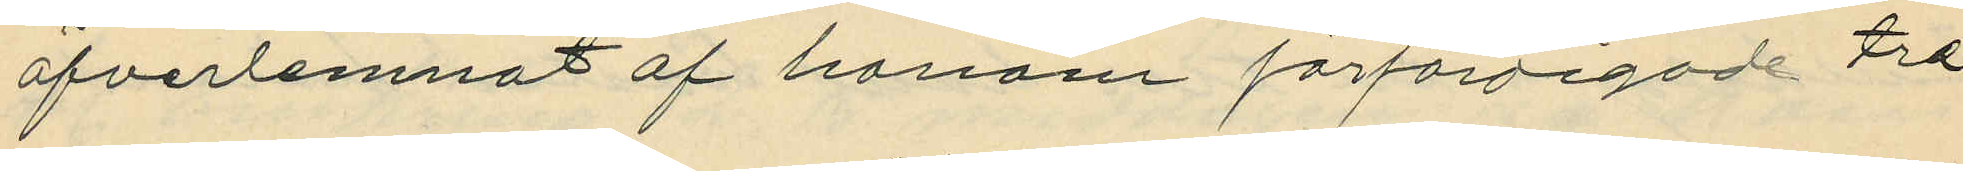öfverlemnat af honom förfärdigade tre
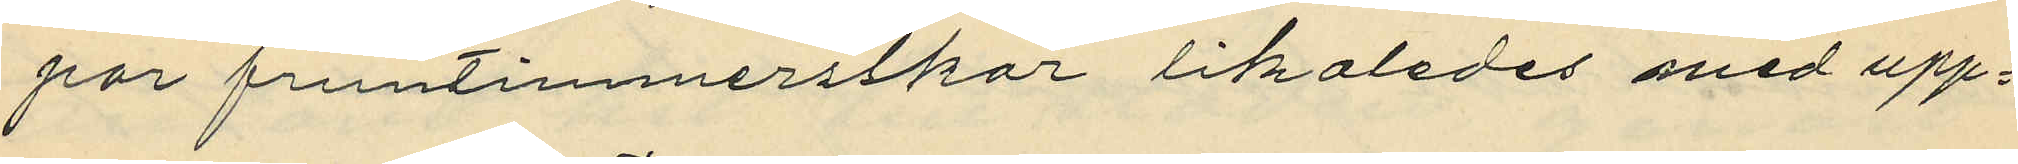par fruntimmersskor likaledes med upp¬
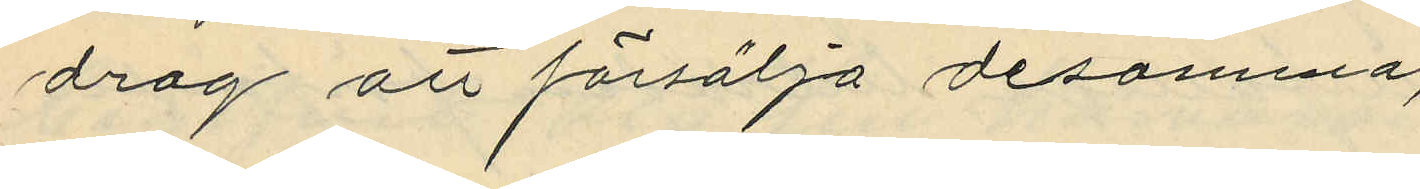drag att försälja desamma;
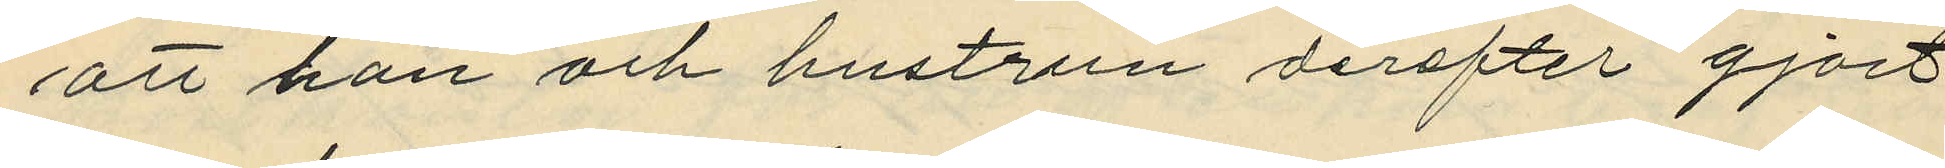att han och hustrun derefter gjort
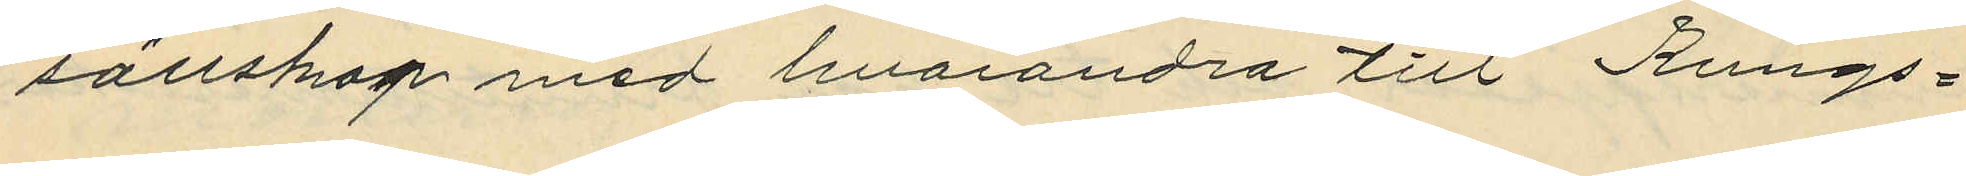sällskap med hvarandra till Kungs¬
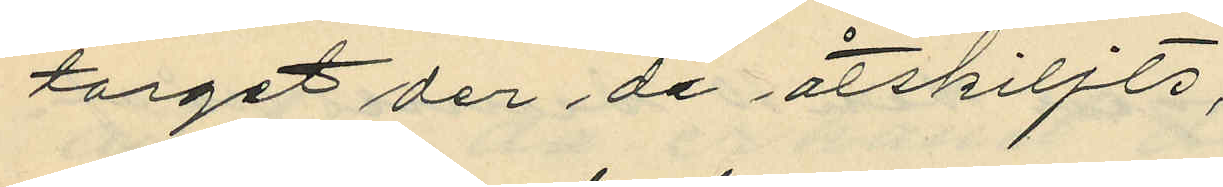torget der de åtskiljts;
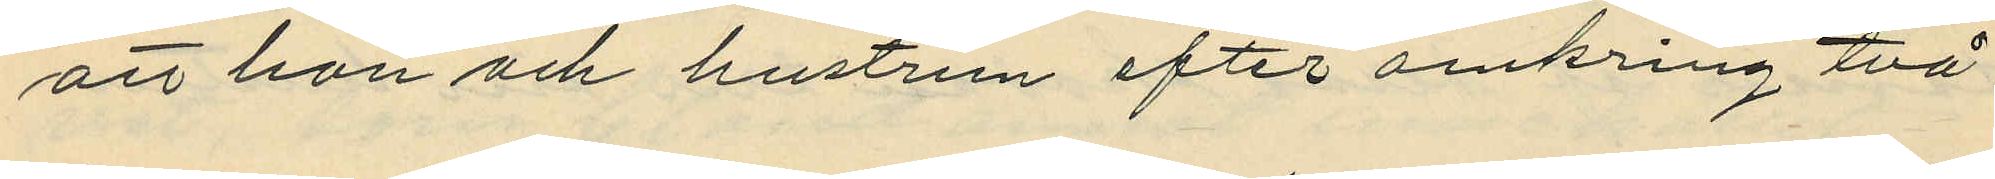att han och hustrun efter omkring två
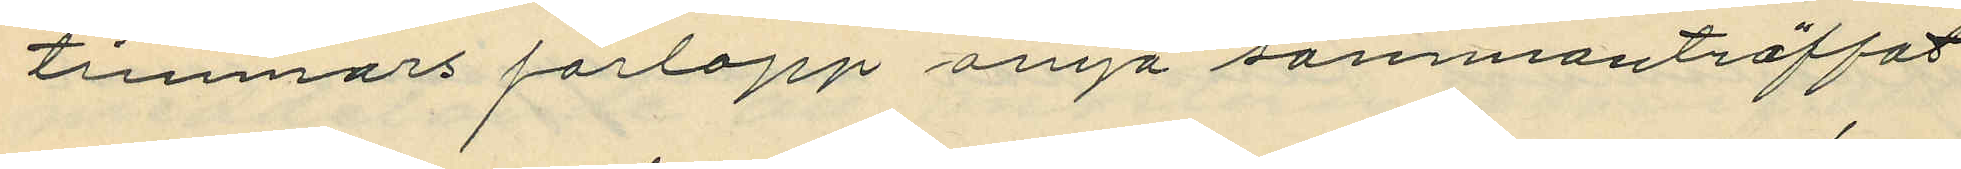timmars förlopp ånyo sammanträffat
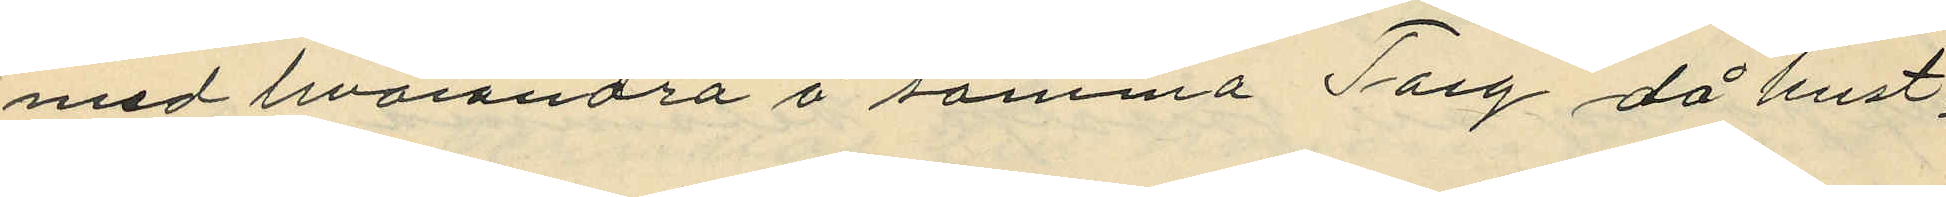med hvarandra å samma Torg då hust¬
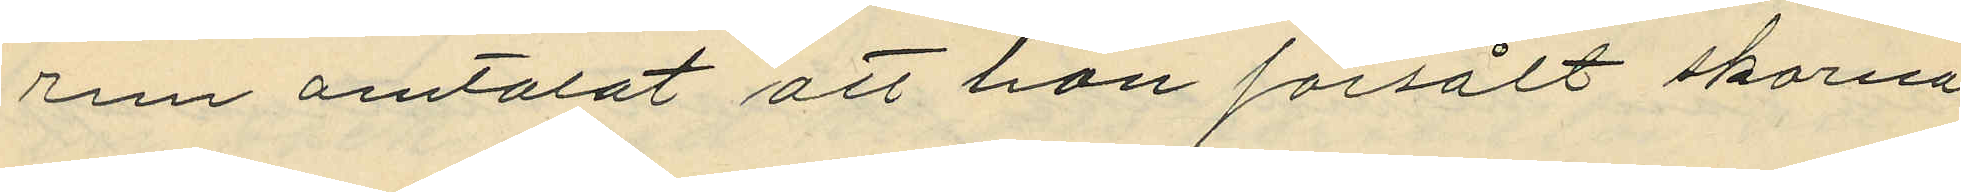run omtalat att hon försålt skorna
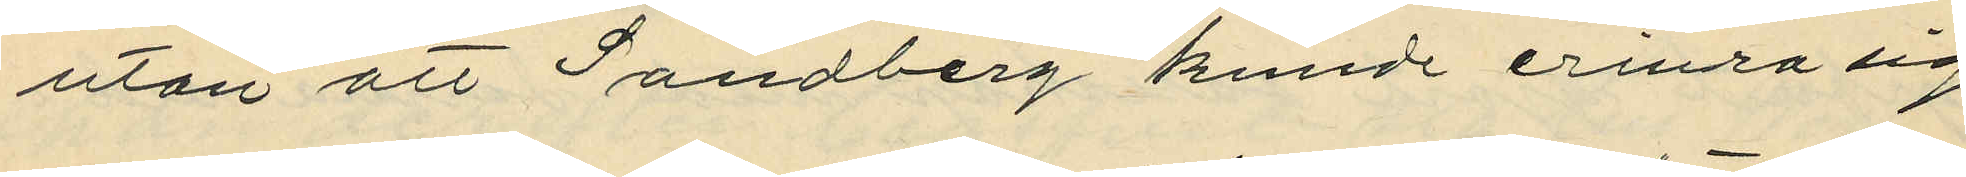utan att Sandberg kunde erinra sig
